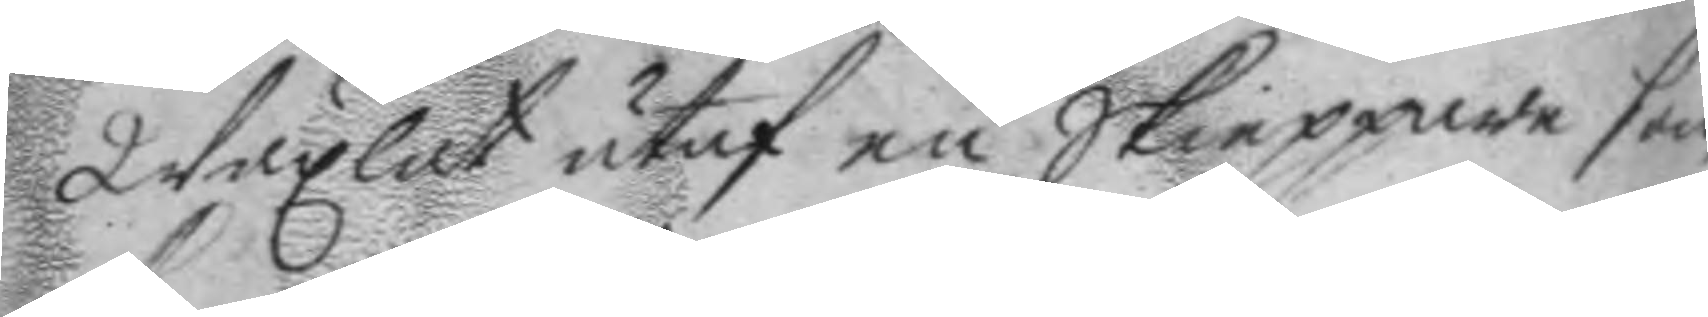wäxlat utaf en Skieppare som
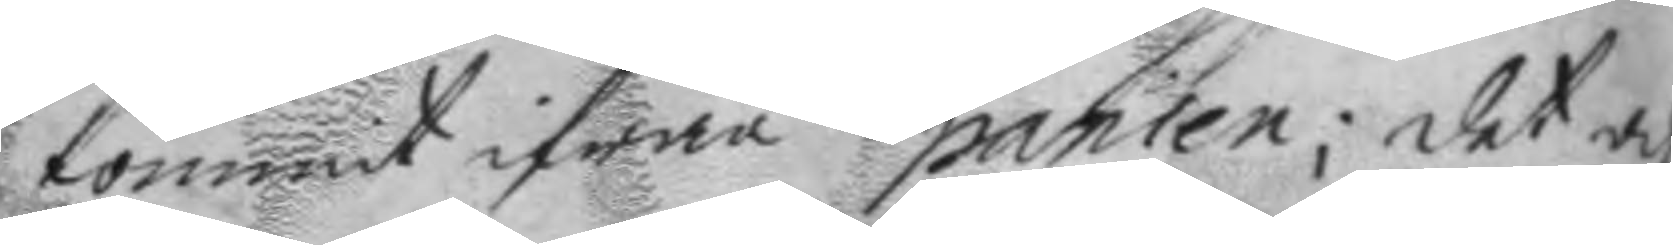kommit ifrån Spanien; det och
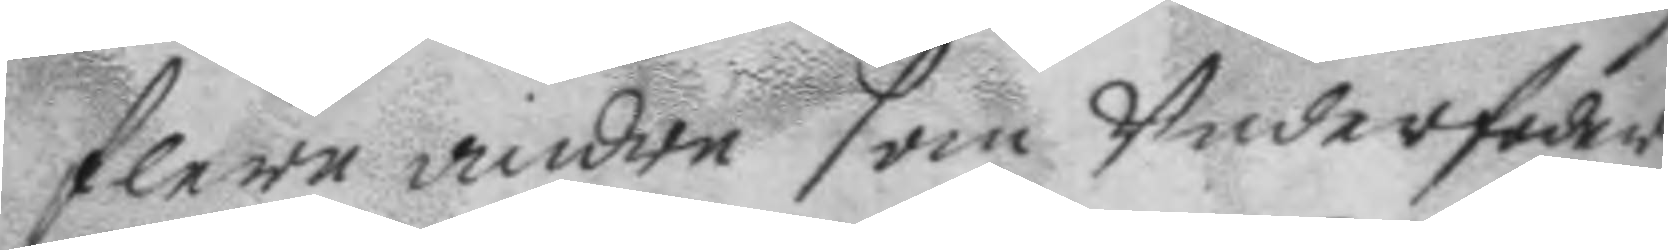flere andre som Underfoder¬
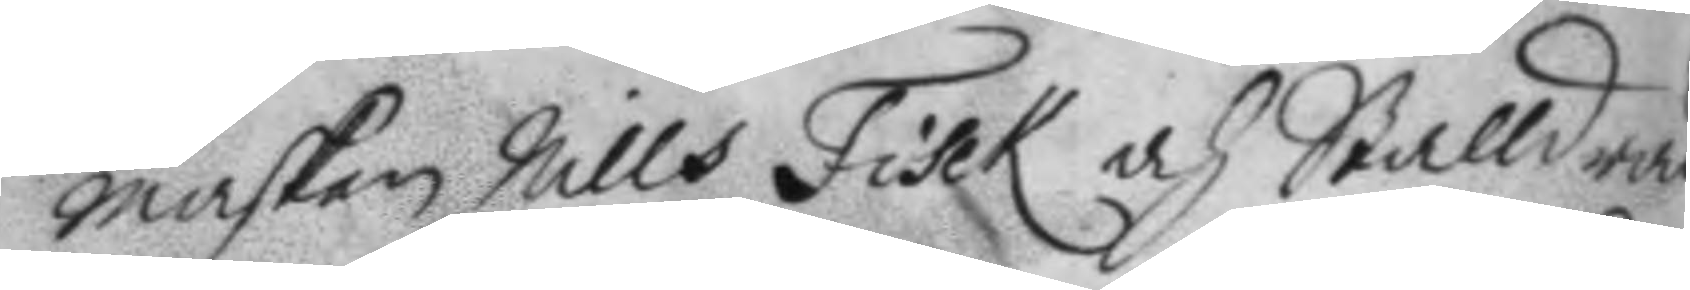marsken Nills Fisck och Stalldrän¬
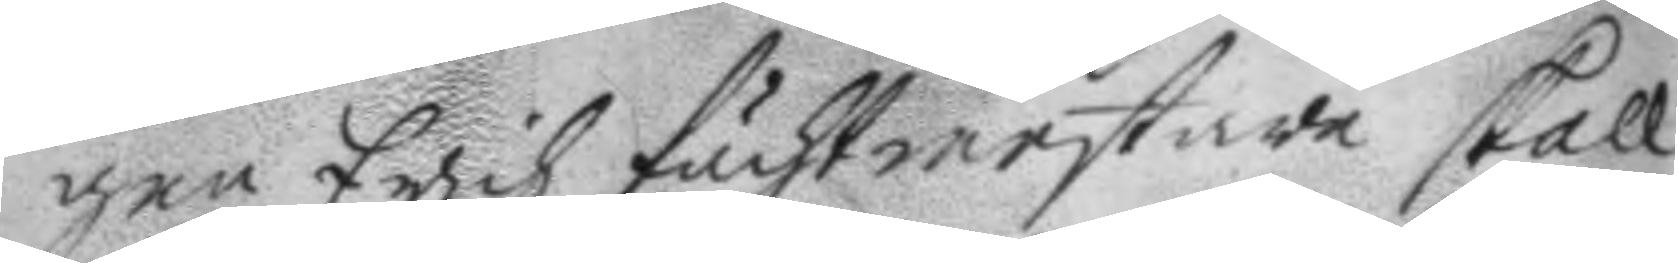gen Erich fächtmestare skall
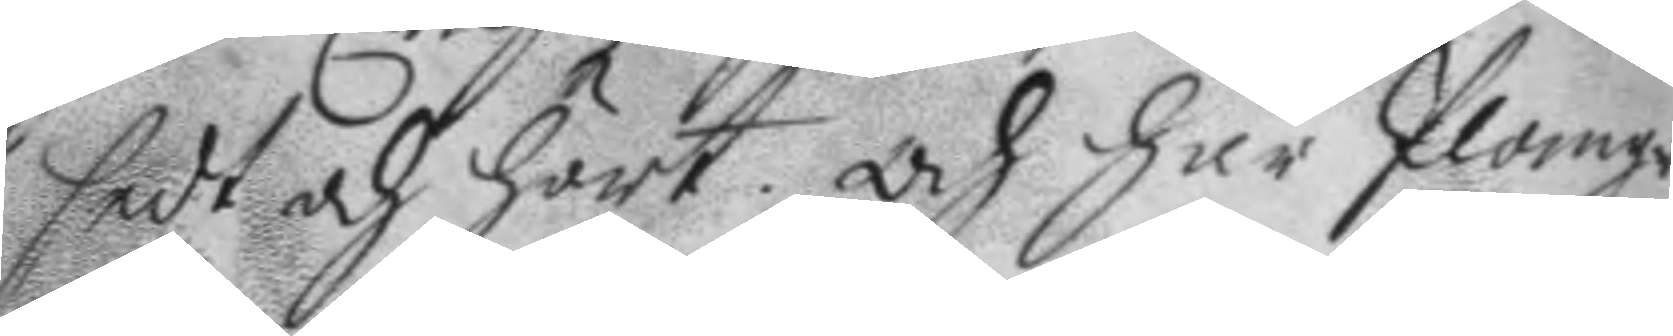sedt och hört, och har Plomgren
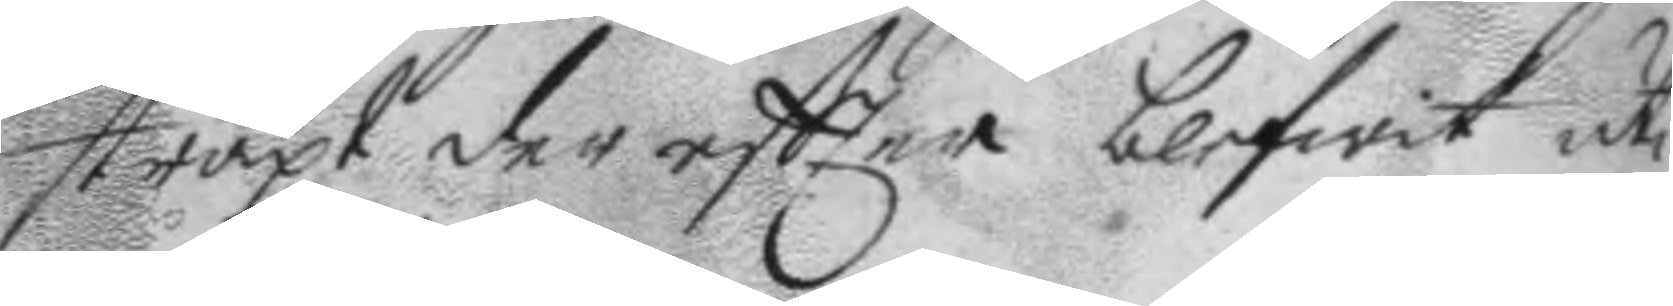straxt der eftter blifwit uti
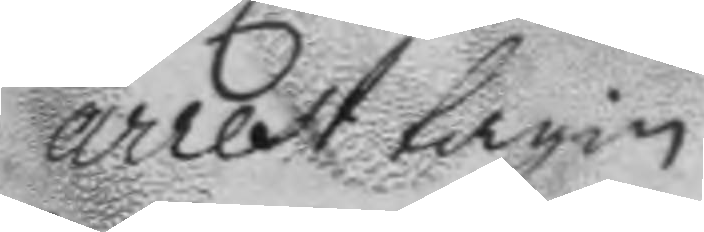arrest tagin.
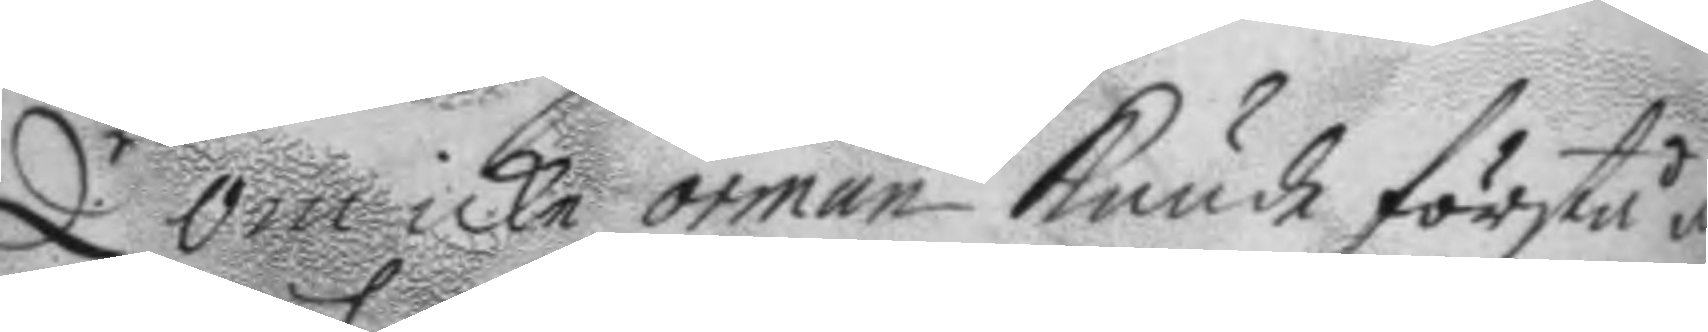Q.r om icke örman kunde förstå at
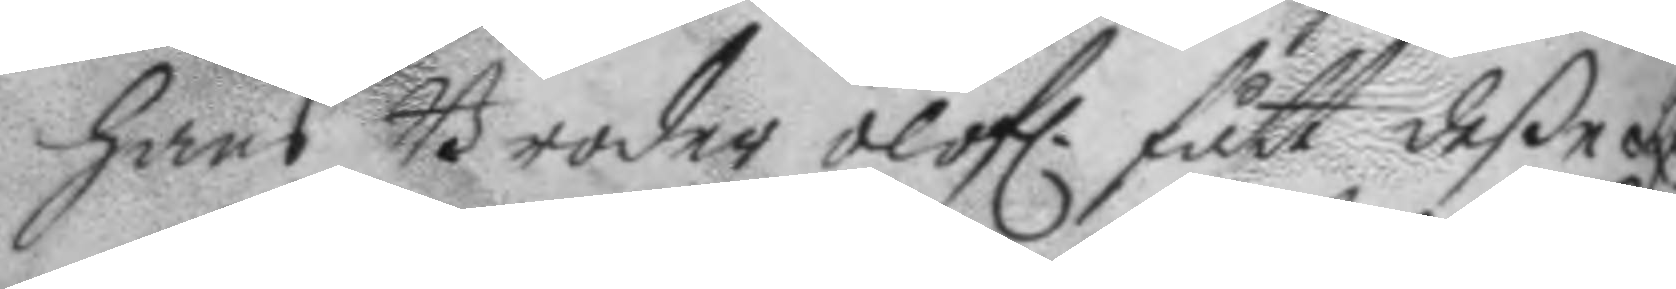hans Broder olofl. fått deße s 
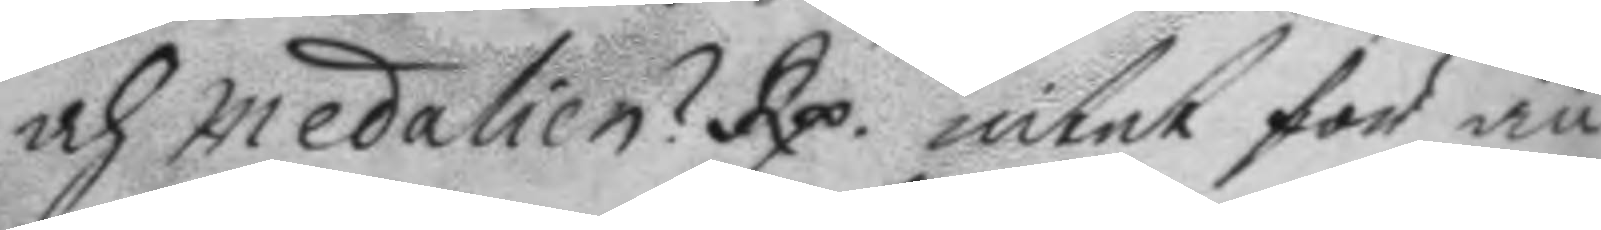och medalien? Rp. intet för än
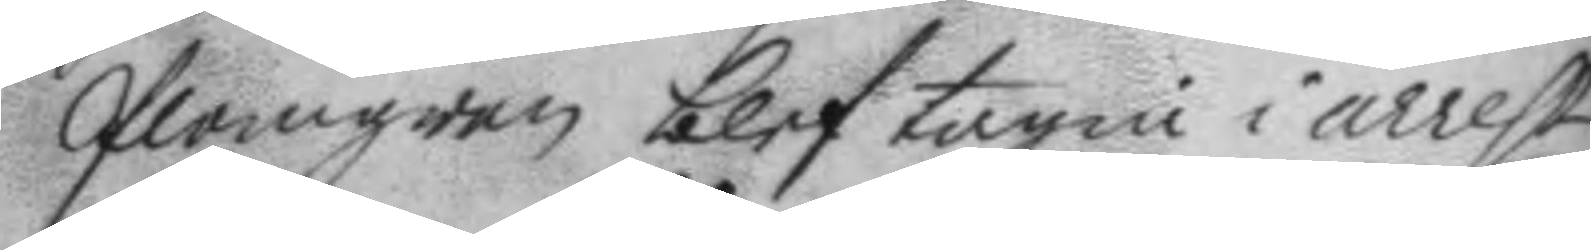Plomgren blef tagin i arrest,
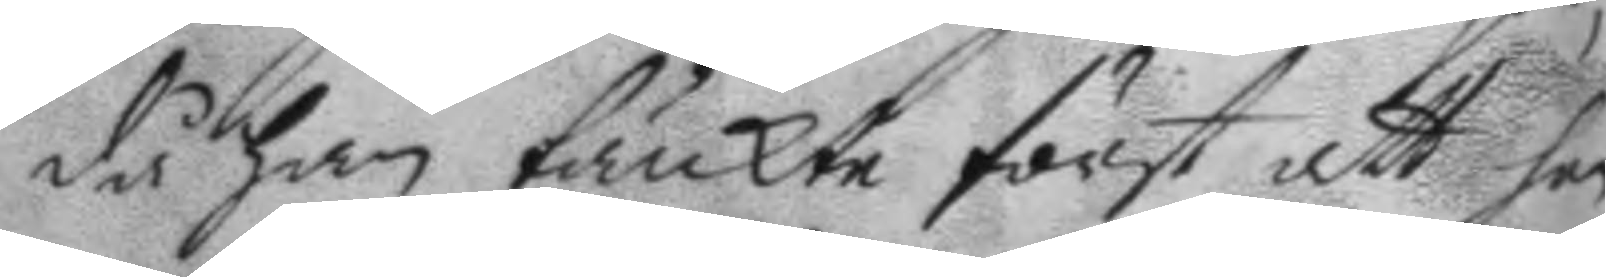då han tänkte först att han
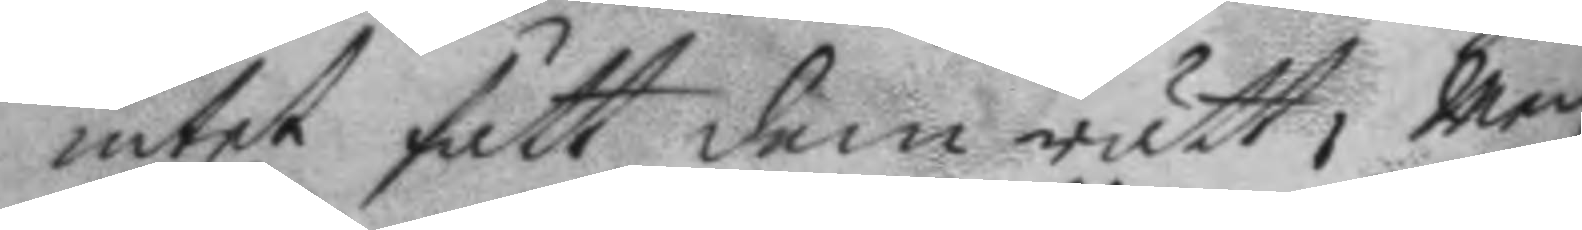intet fått dem rätt, Men
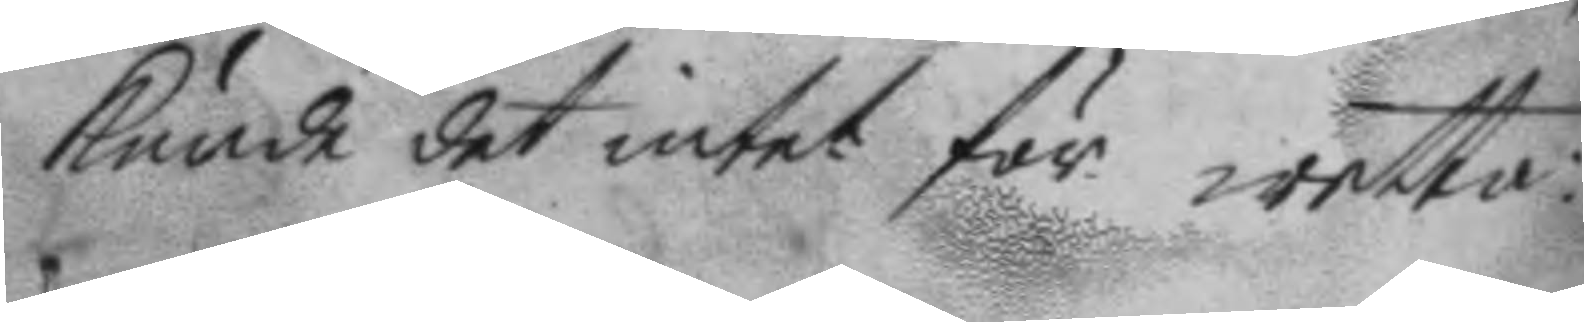kunde det intet för wetta:
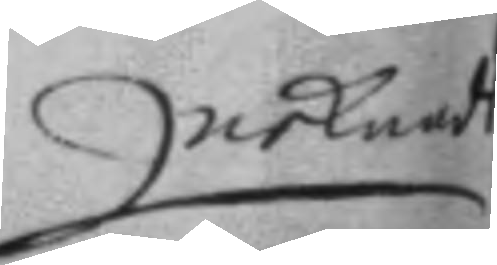nekandes
